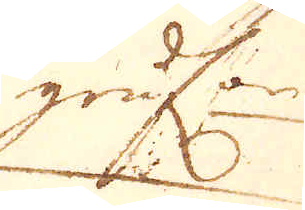grufwor
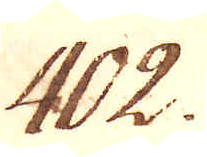402.
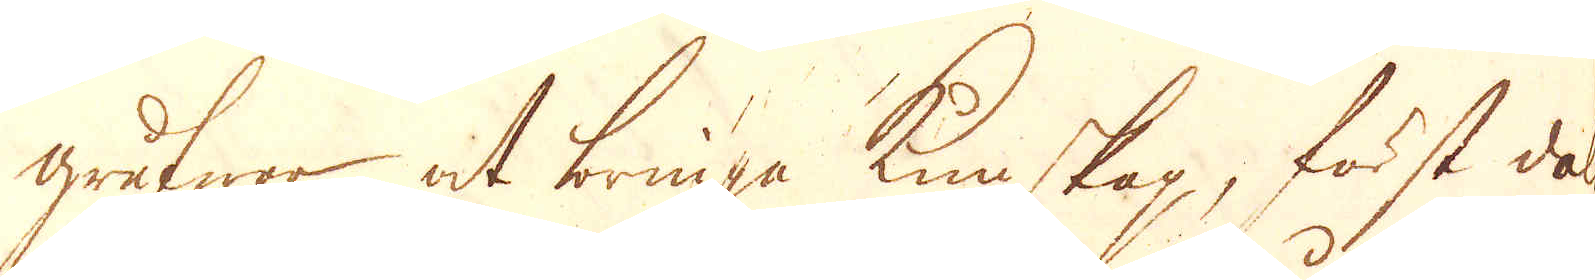grufwar at bringa kunskap, först dahlen
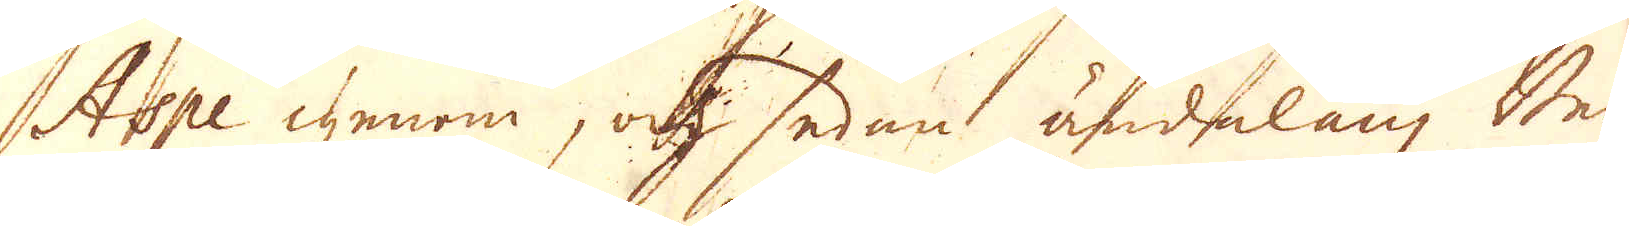Aspe genom, ok sedan ändelångz Berg
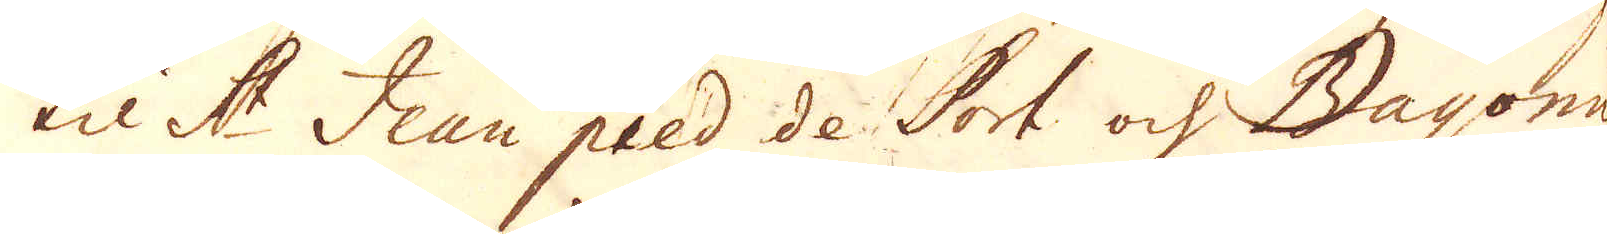til St Jean pied de Port och Bayonne
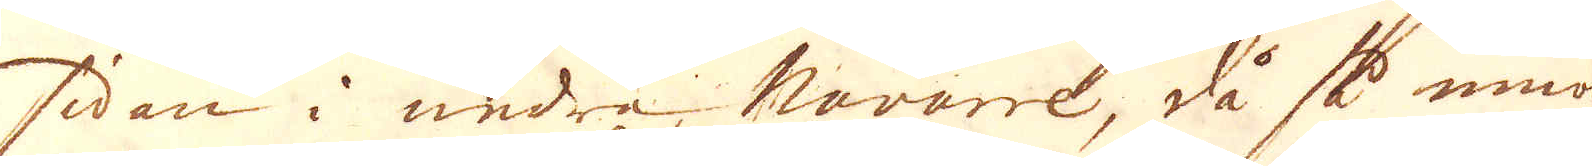sidan i andra, Navarre, då så innom
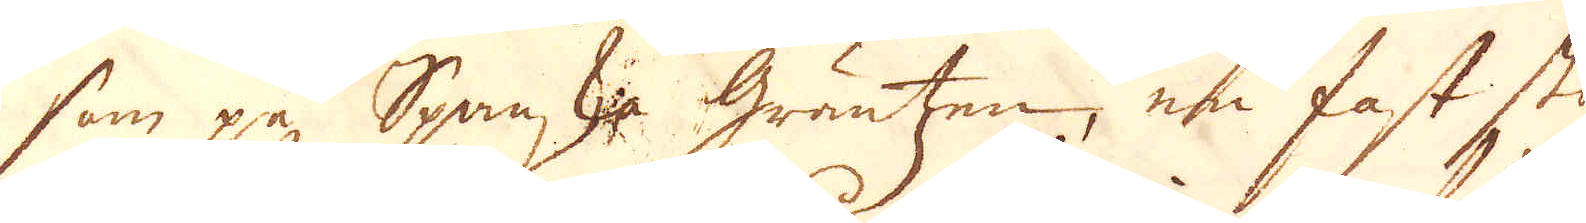som på Spanska Gräntzen, en fast stor
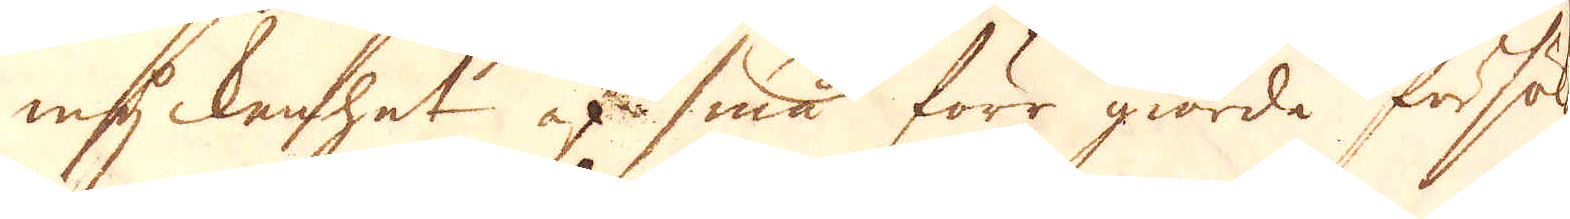myckenhet af små förr giorde försöknin-
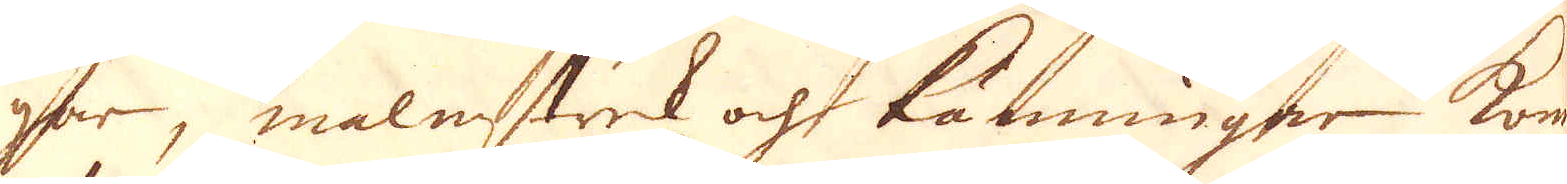gar, malmstrek och känningar kom
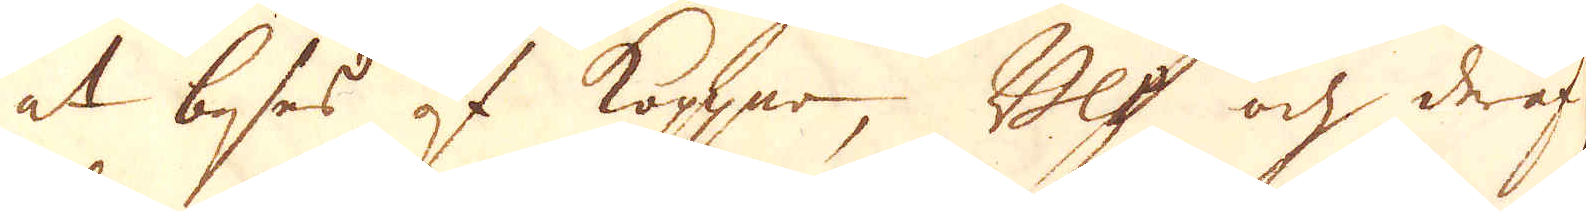at beses af kopper, Bly och deraf i
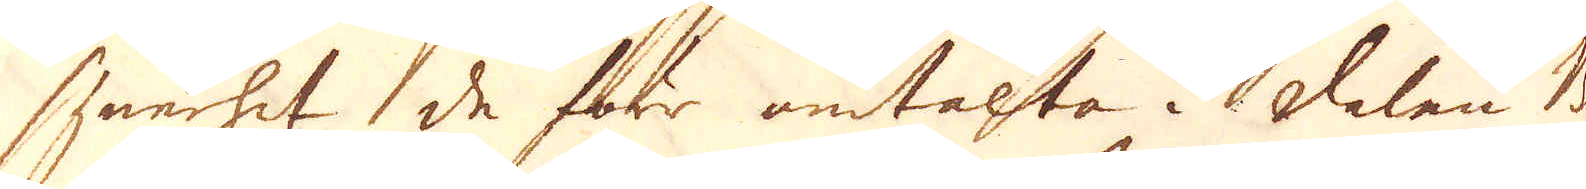synnerhet de förr omtalta i dalen Be-
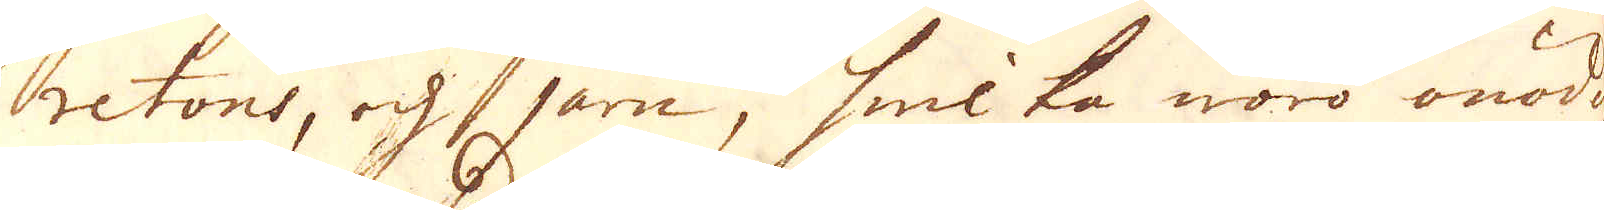retons, och järn, hwilka woro onödigt
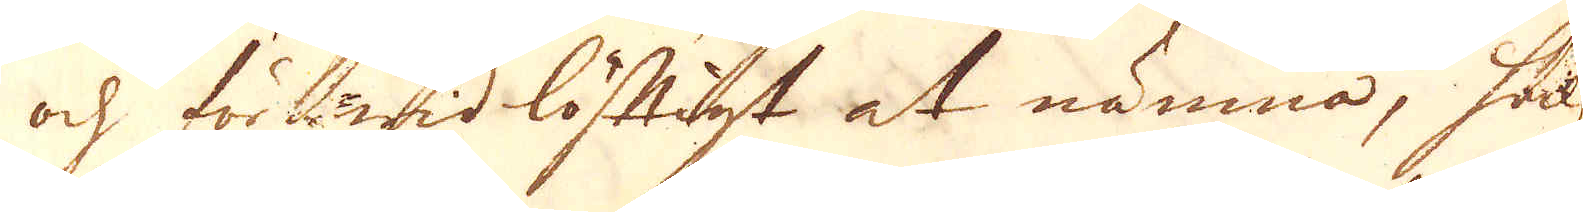och för wid löftigt at nämna, hälst
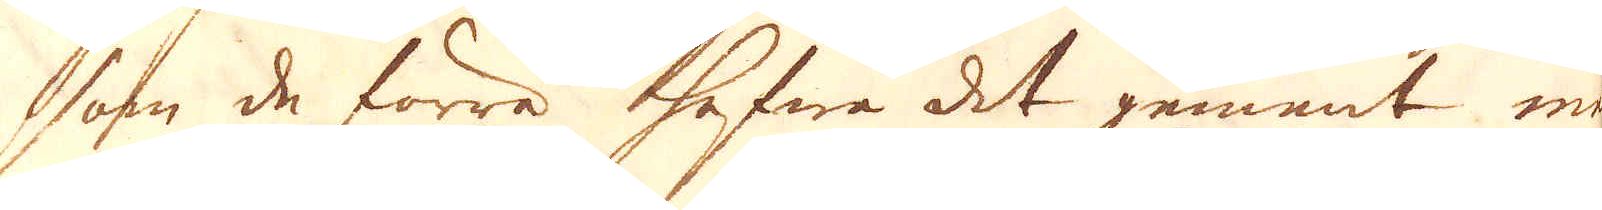som de förra hafwa det gement med
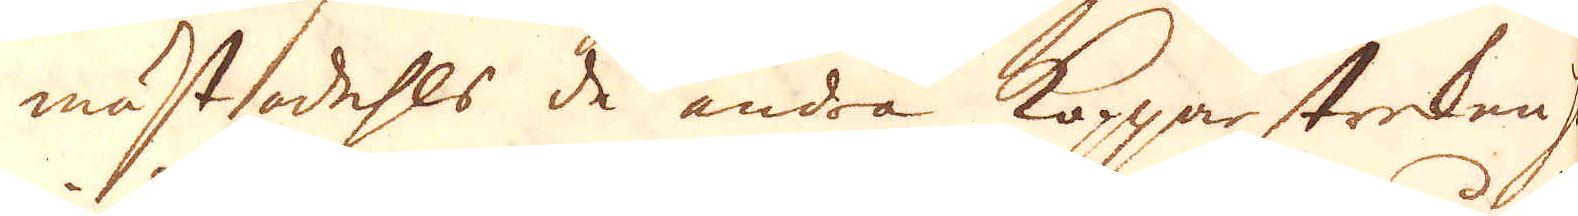mästadehls de andra Kopparstreken här
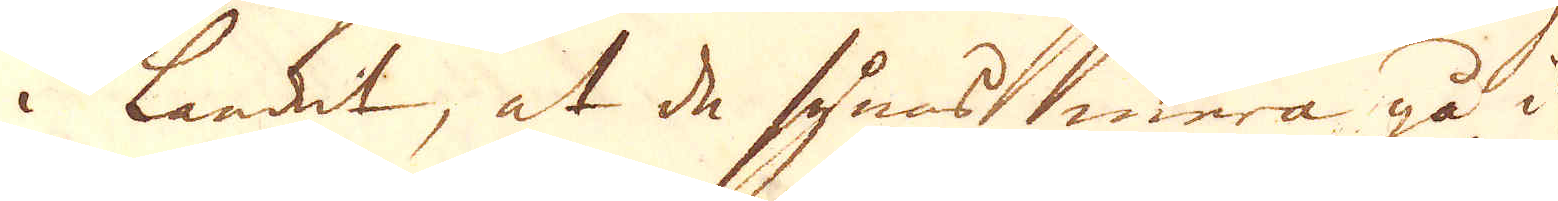i landet, at de synas mera gå i
